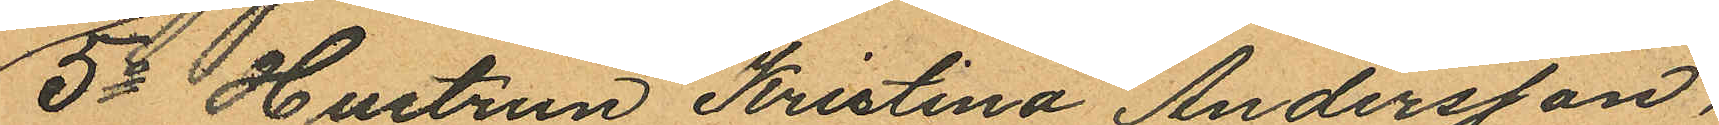5o Hustrun Kristina Andersson,
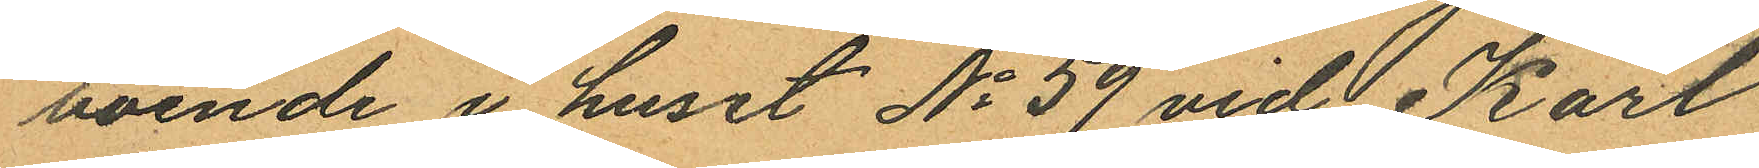boende i huset No 59 vid Karl
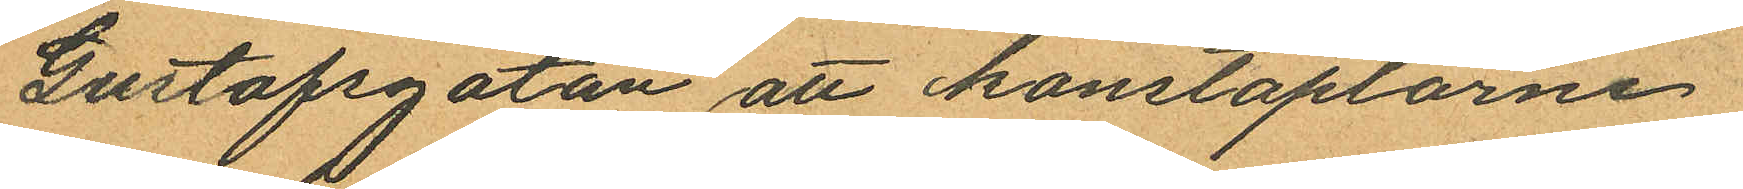Gustafsgatan att konstaplarne
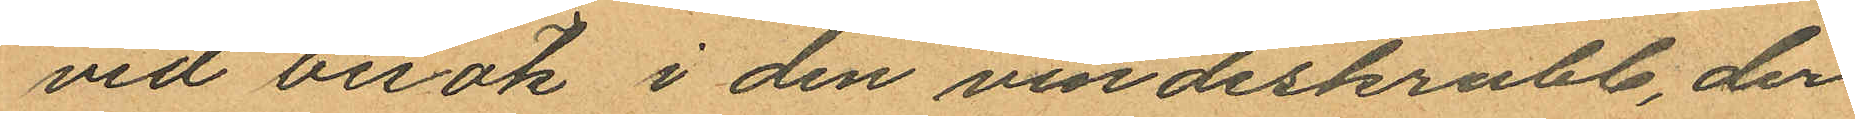vid besök i den vindeskrubb, der
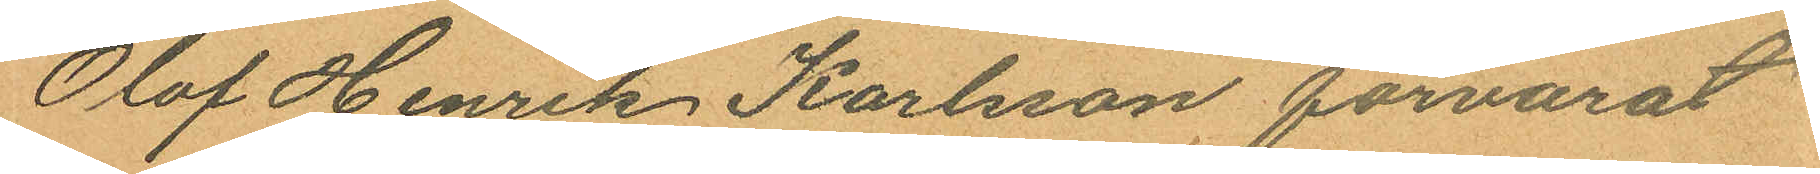Olof Henrik Karlsson, förvarat
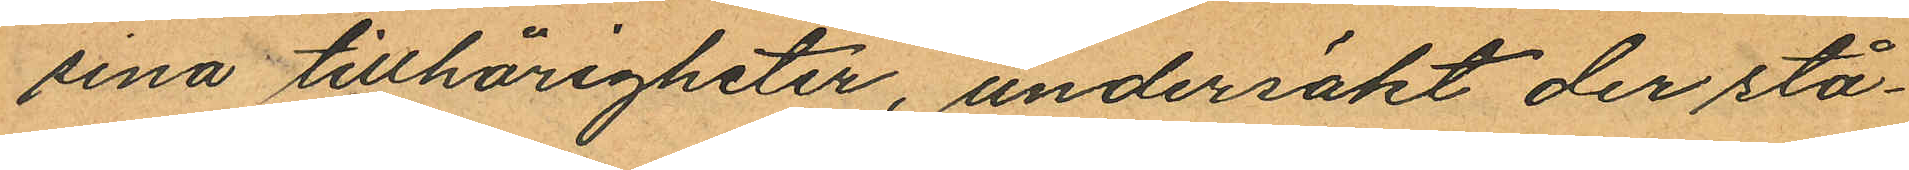sina tillhörigheter, undersökt der stå¬
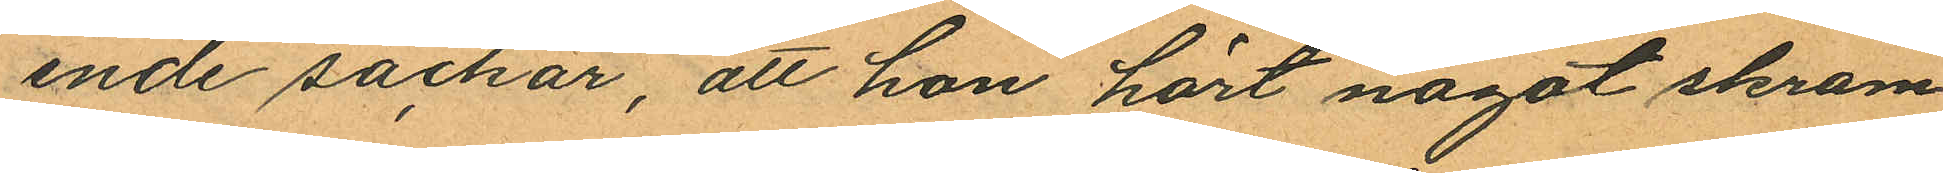ende säckar, att hon hört något skram¬
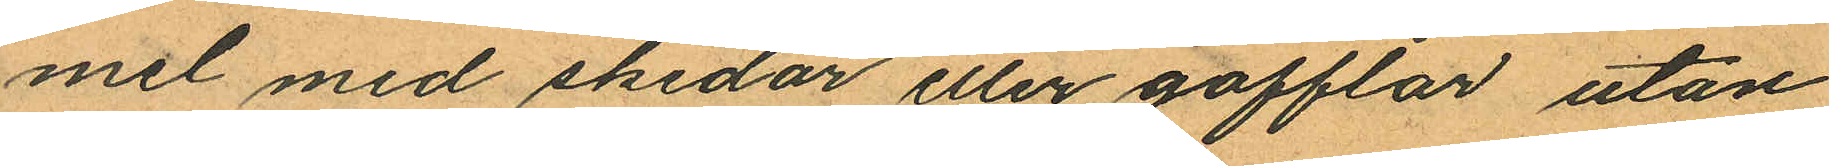mel med skedar eller gafflar utan
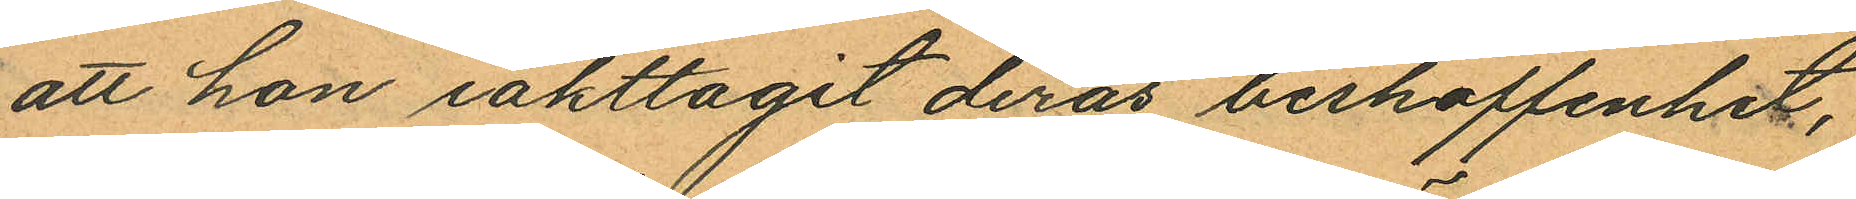att hon iakttagit deras beskaffenhet,
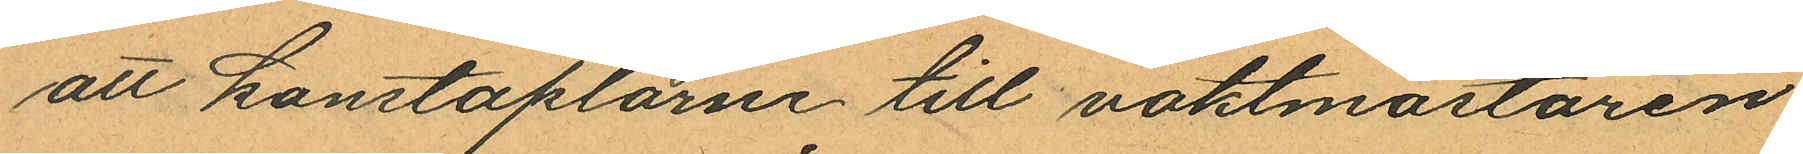att konstaplarne till vaktmästaren
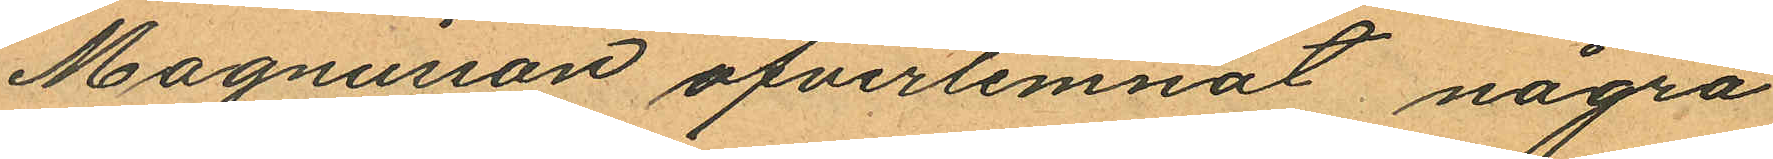Magnusson öfverlemnat några
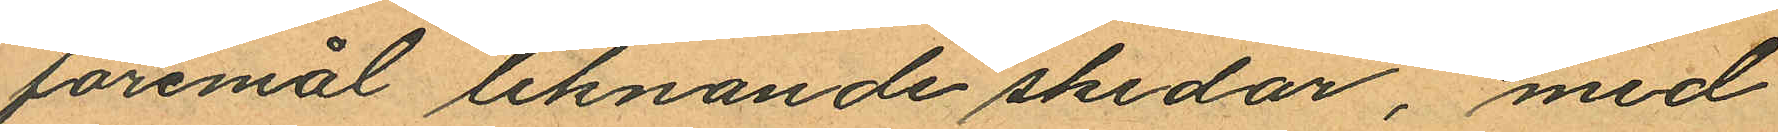föremål liknande skedar, med
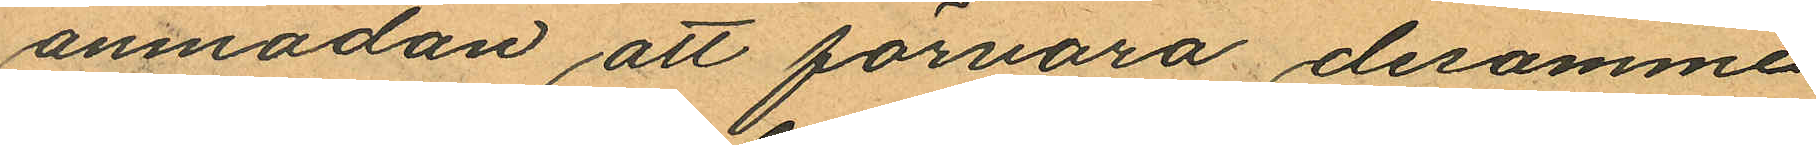anmodan att förvara desamme
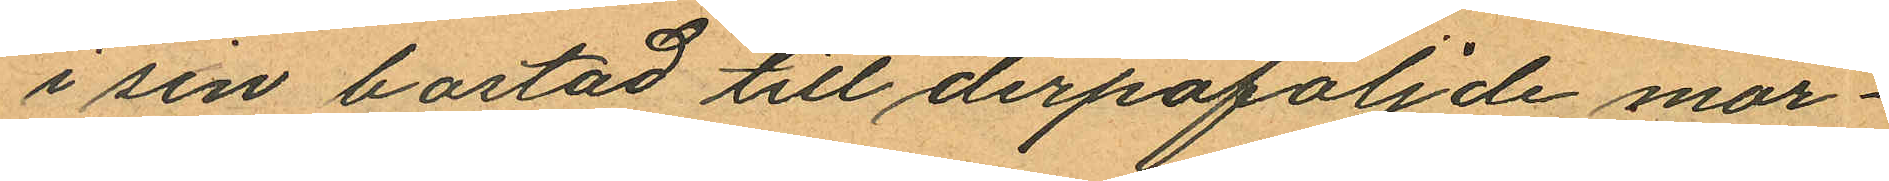i sin bostad till derpåföljde mor¬
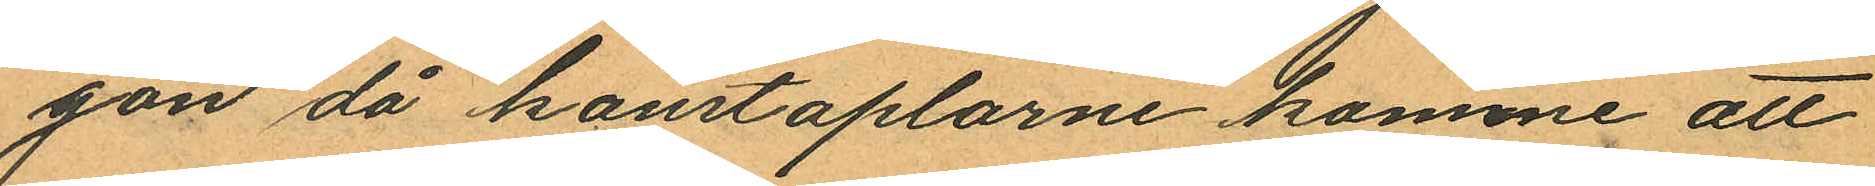gon då konstaplarne komme att
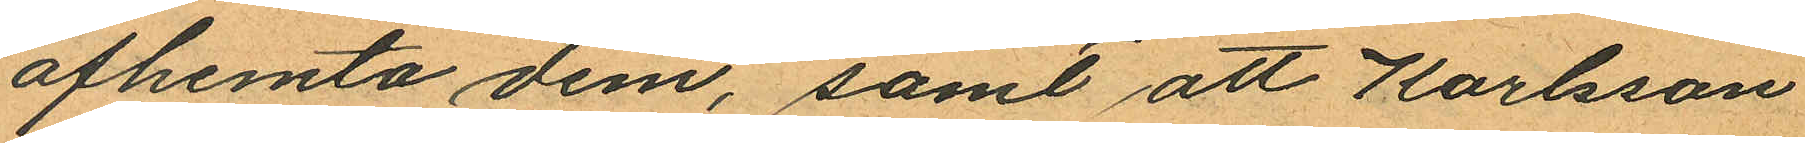afhemta dem, samt att Karlsson
